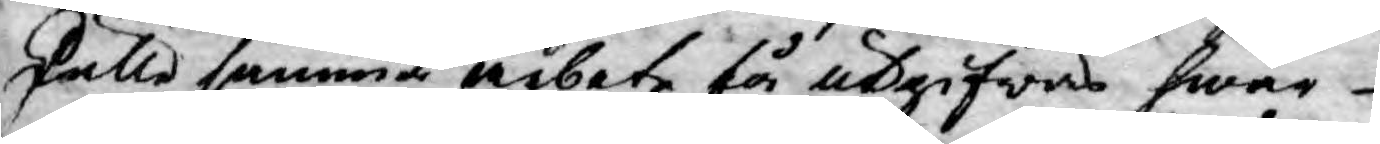skulle samma arbete få utgifwas hwar
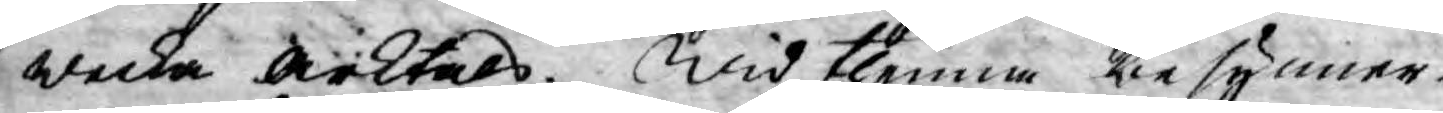wecka Arktals. Wid thenna besynner¬
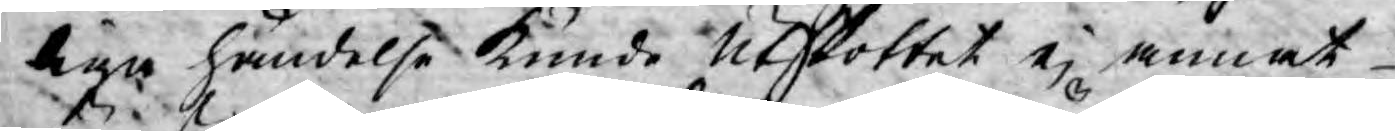liga händelse kunde Utskottet ej annat
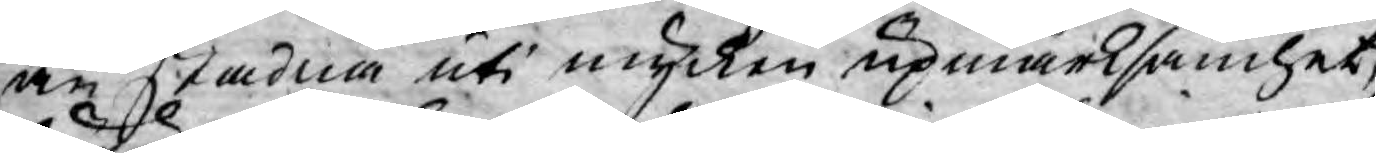än stadna uti mycken upmärksamhet,
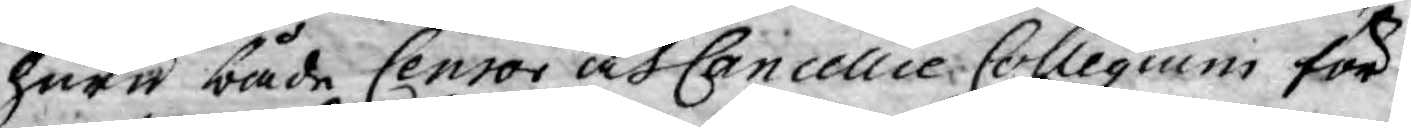huru både Censor och Cancellie Collegium för¬
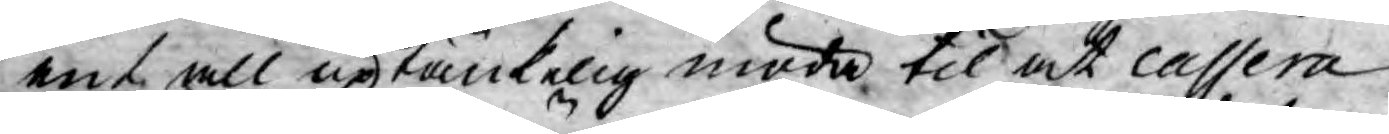ent all uptänkelig möda til at cassera
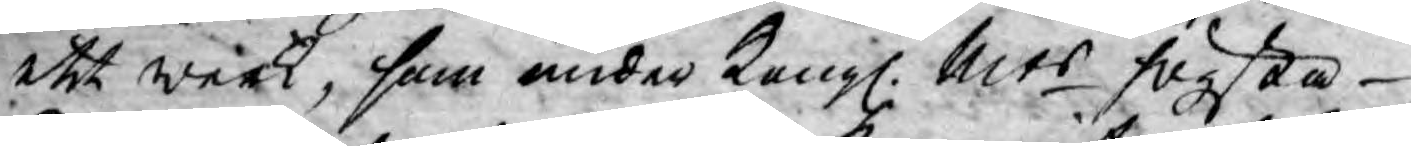ett werk, som under Kongl. Mts högsta
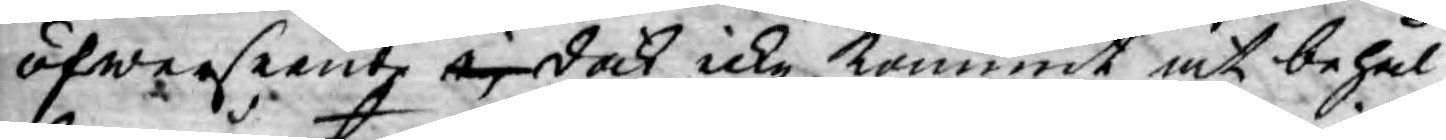öfwerseende ej dock icke kommit at behål¬
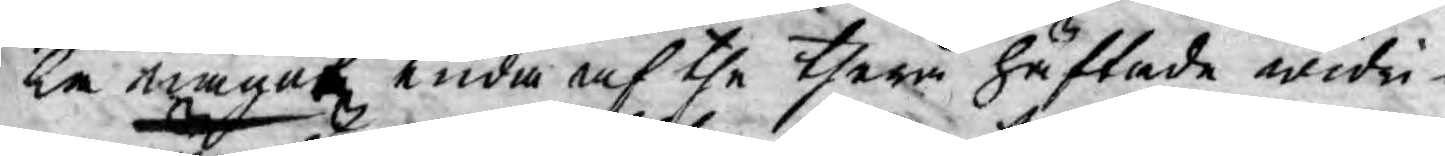la något enda af the therå häftade widri¬
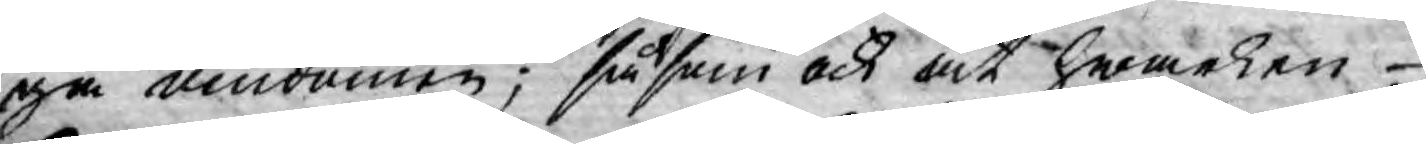ga omdömen; såsom och at hwarken
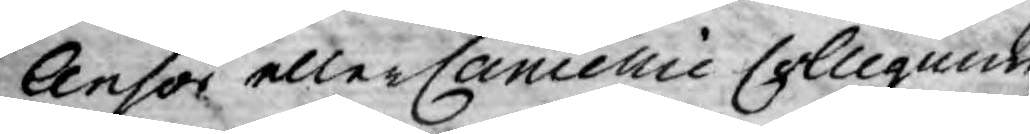Censor eller Cancellie Collegium
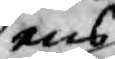ens
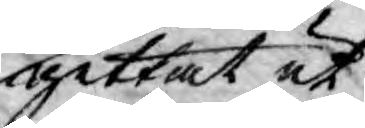gittat ut
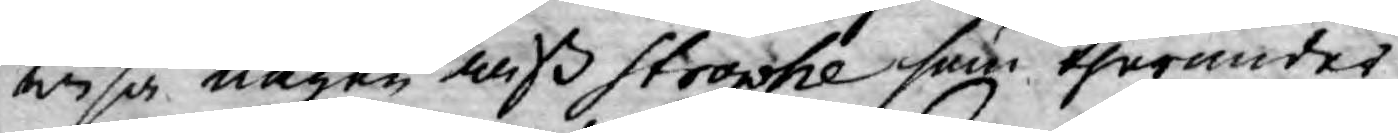wisa någon wiß Strophe som therunder
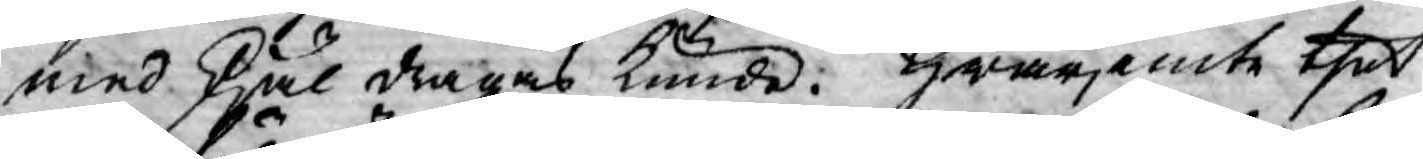med skjäl dragas kunde. Hwarjemte thet
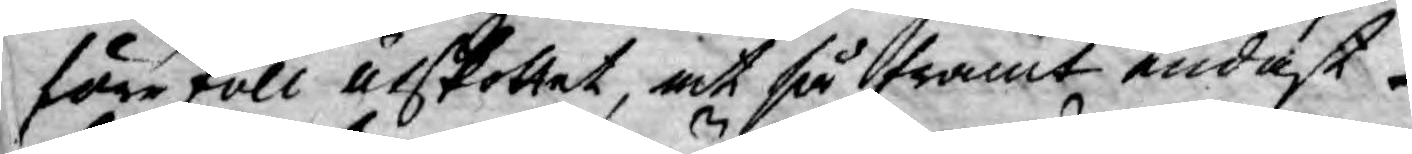föreföll utskottet, at så framt endast
